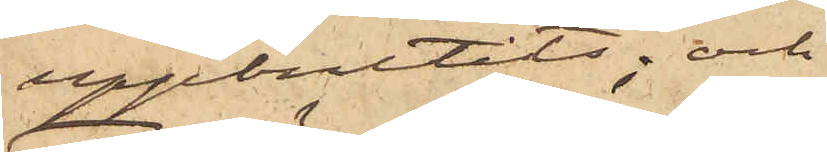uppbrutits; och
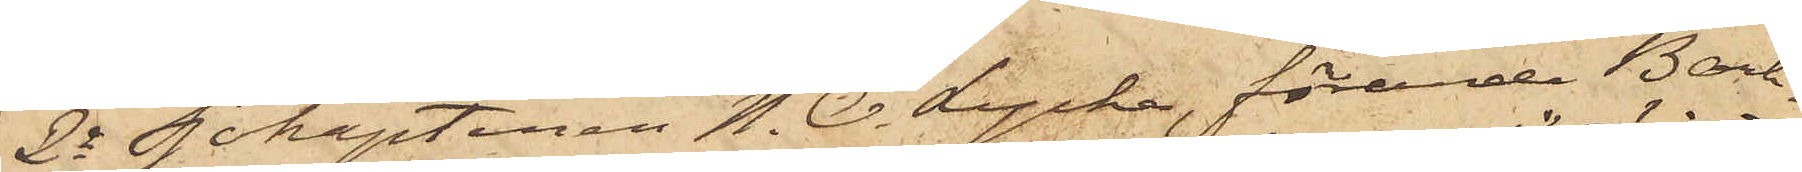2o Sjökaptenen N. O. Lycke, förande Bark¬
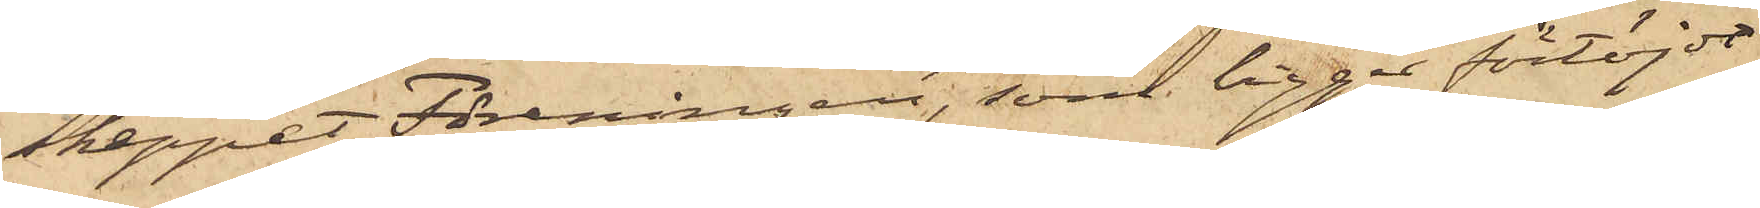skeppet Föreningen, som ligger förtöjdt
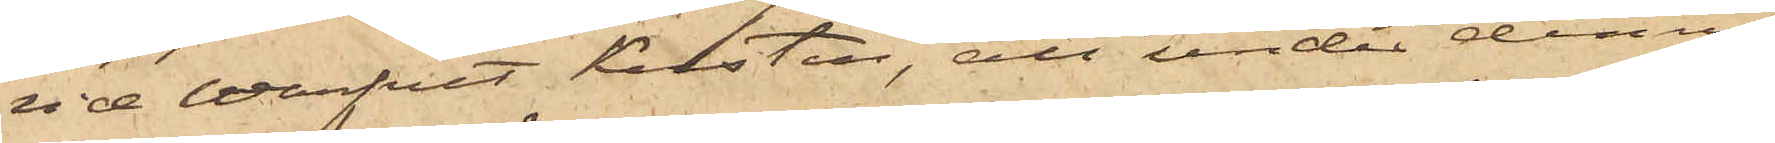vid Warfvet Kusten, att under denna
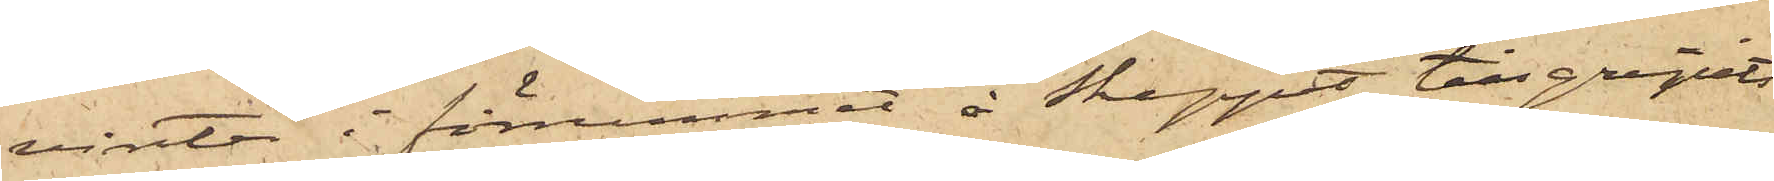vinter i förrummet å skeppet tillgripits
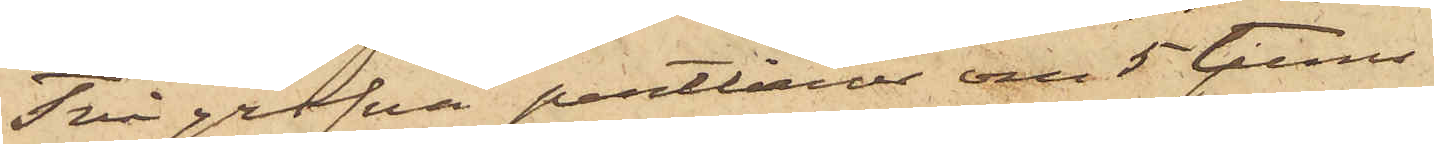Två grofva pertlinor om 5 tums
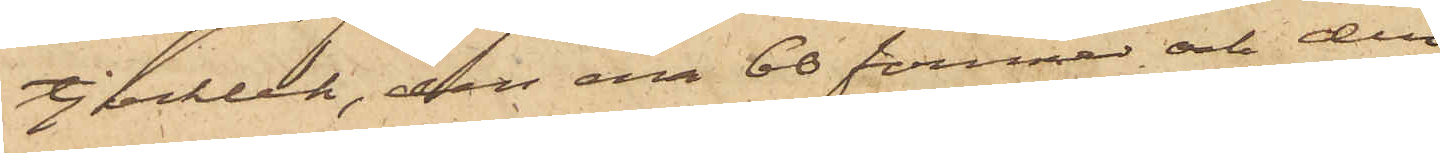tjocklek, den ena 60 famnar och den
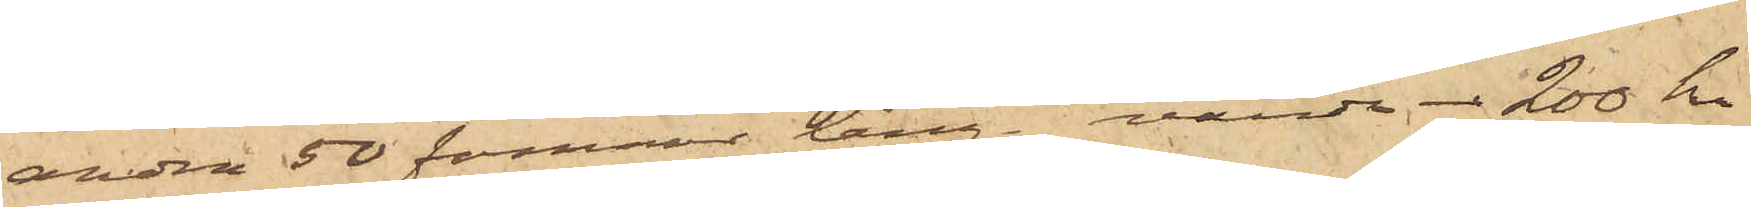andra 50 famnar lång, värde 200 kr
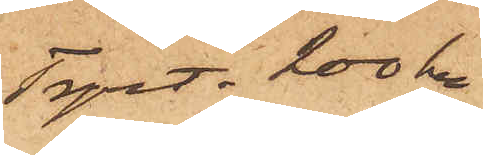Trpt. 200 kr
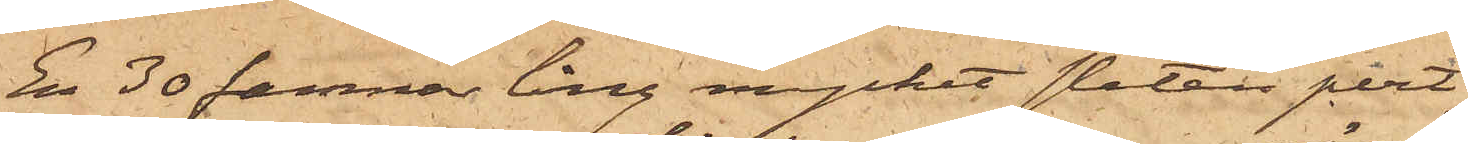En 30 famnar lång mycket sliten pert¬
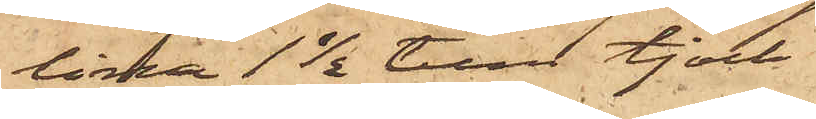lina 1½ tum tjock
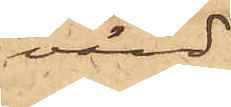värd
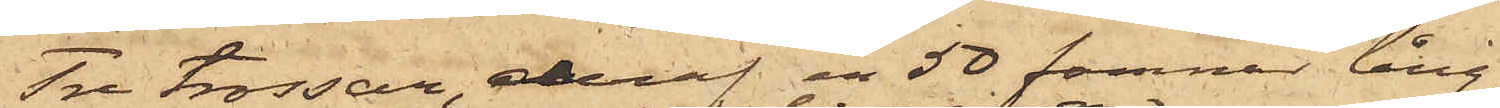Tre trossar, deraf en 50 famnar lång
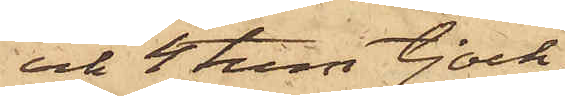och 4 tum tjock,
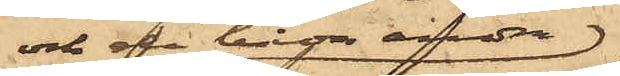och de båda andra
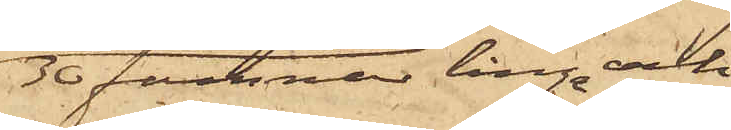30 famnar långa och
